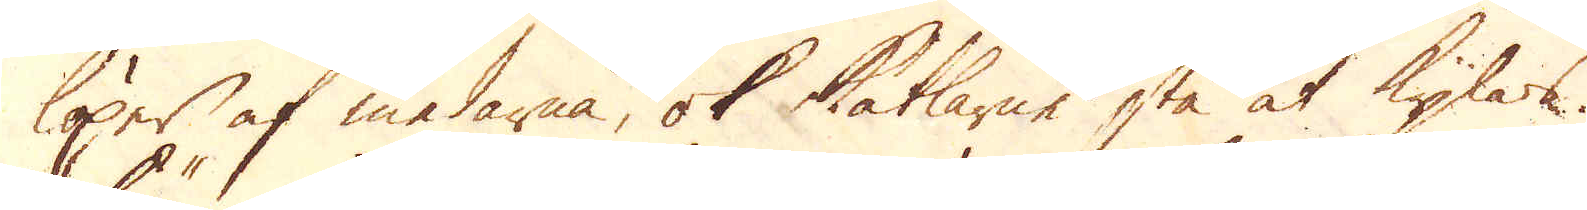löper af medarna, ok kätlarne stå at kylas.
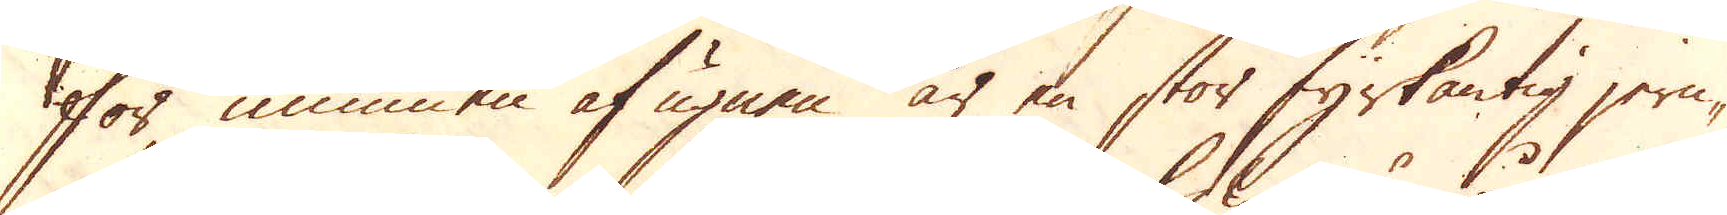För munnen af ugnen är en stor fyrkantig jern-
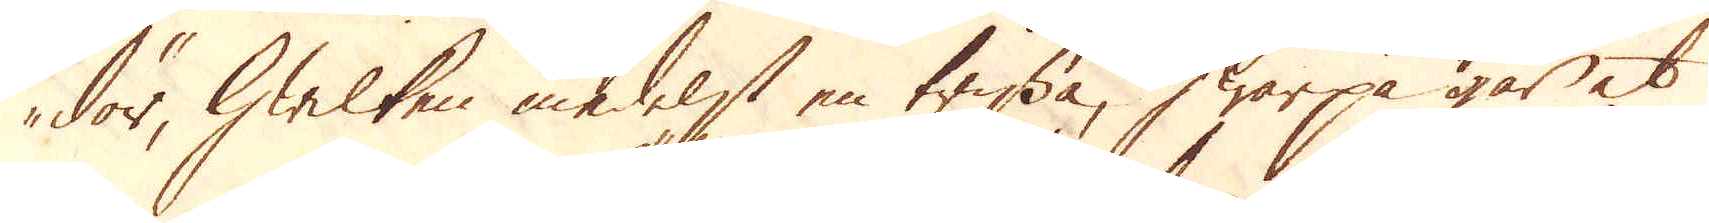dör, hwilken medelst en trissa, hwarpå går et
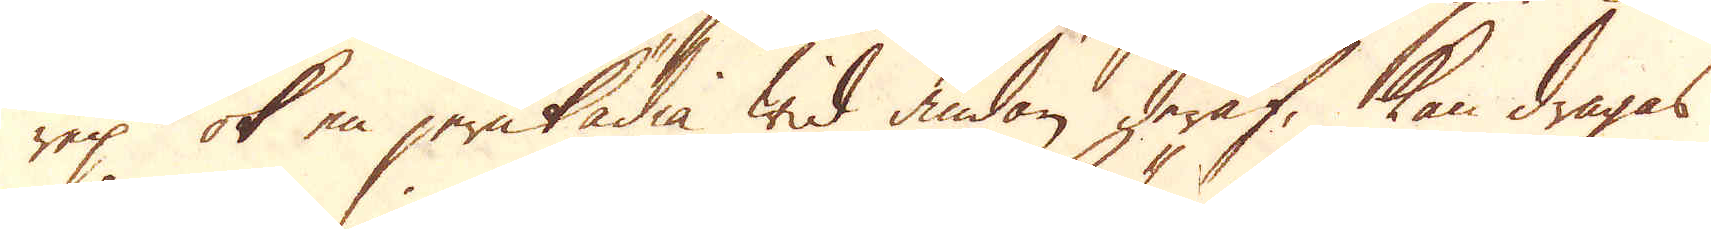rep ok en jernkädia wid ändan deraf, kan dragas
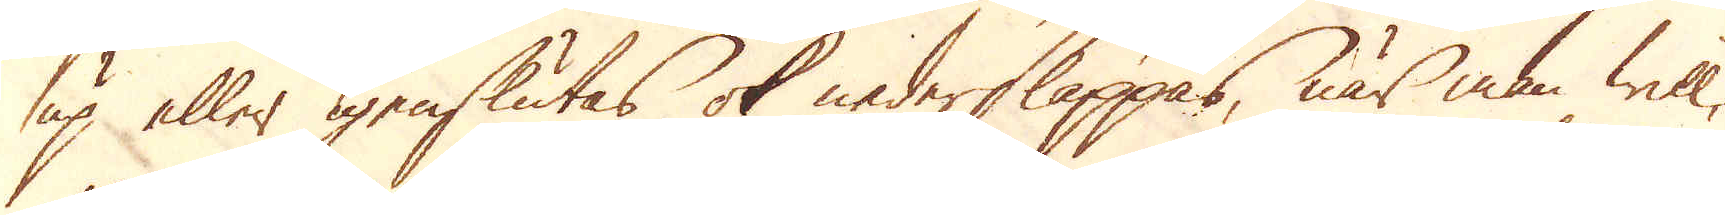up eller igenslutas ok nedersläppas, när man will,
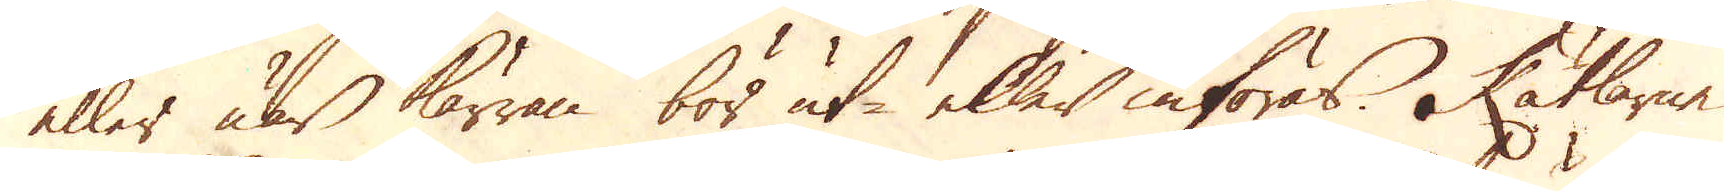eller när kärran bör ut- eller införas. Kätlarne
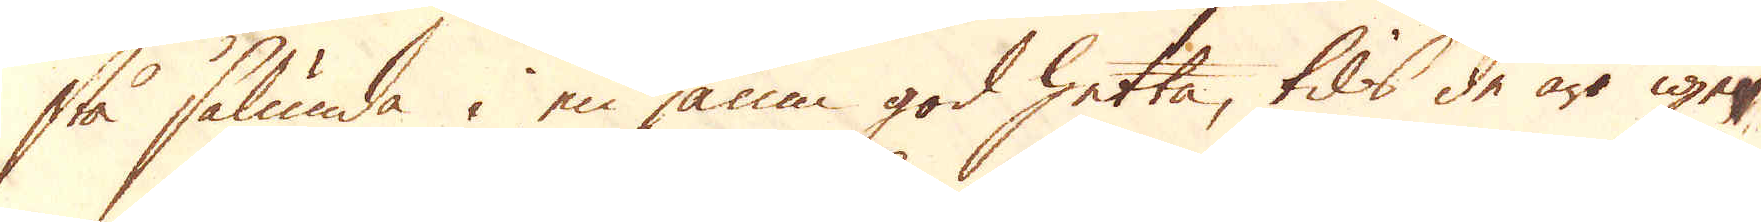stå sålunda i en jämn god hetta, tils de äro ige-
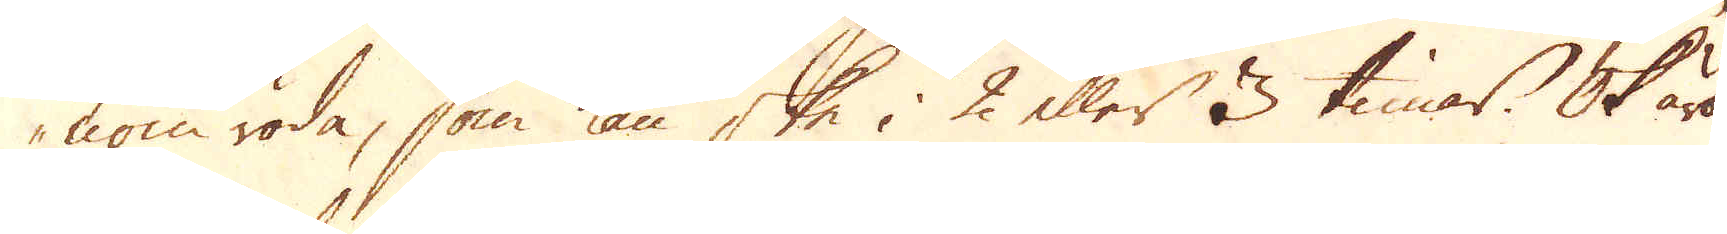nom röda, som kan ske i 2 eller 3 timar. Ok äro
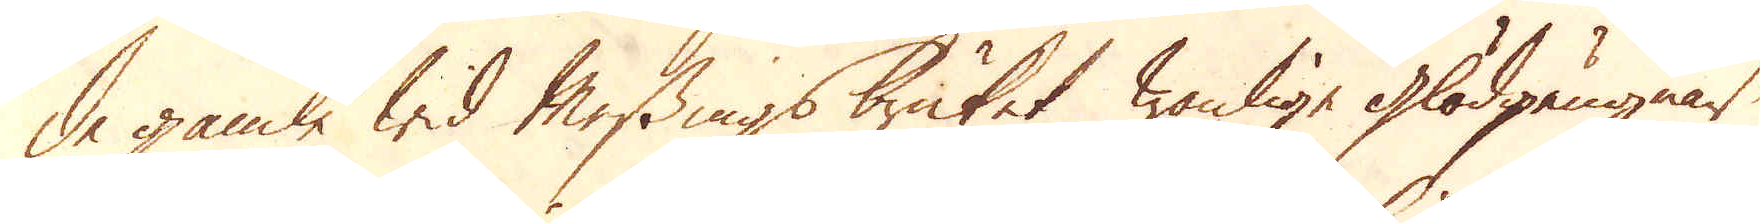de gamle wid Messingsbruket wanlige glödgångnar
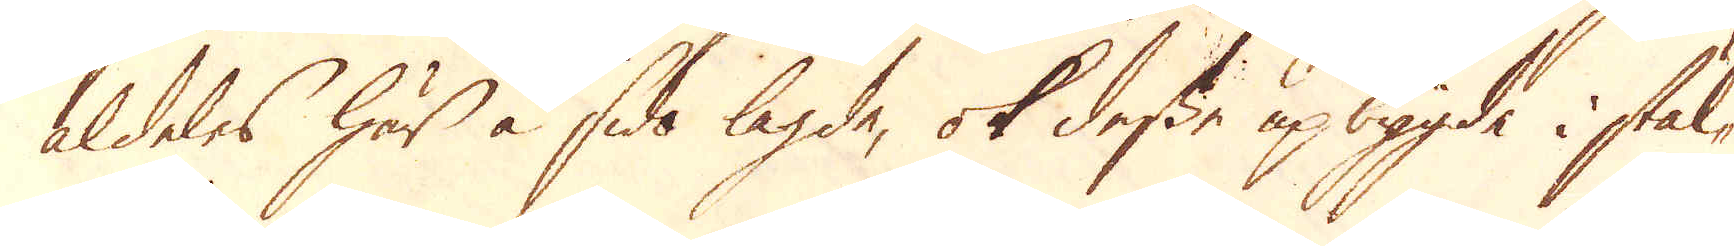aldeles här å sido lagde, ok desse upbygde i stäl-
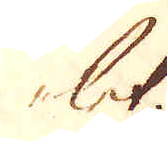let.
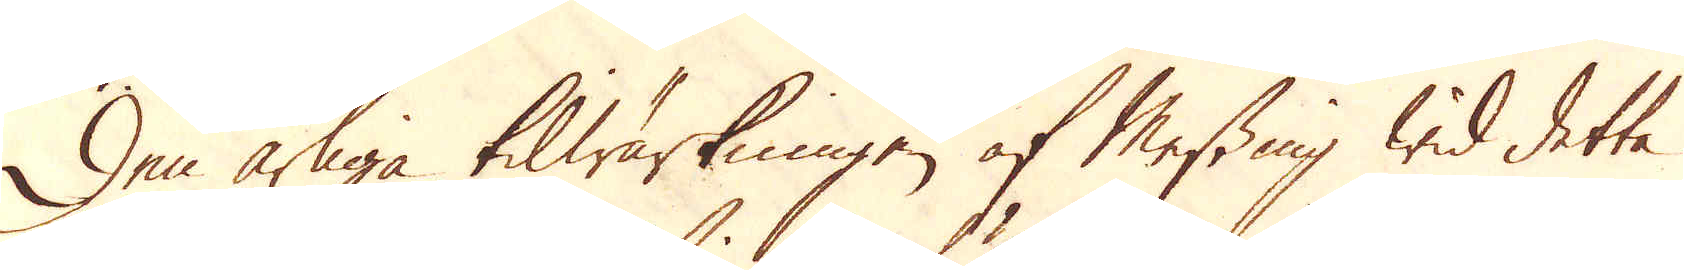Den årliga tilwärkningen af Messing wid detta
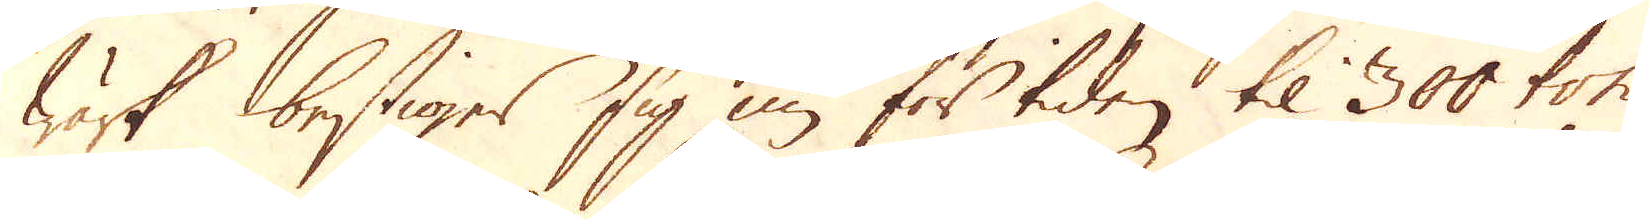wärk bestiger sig nu för tiden til 300 ton
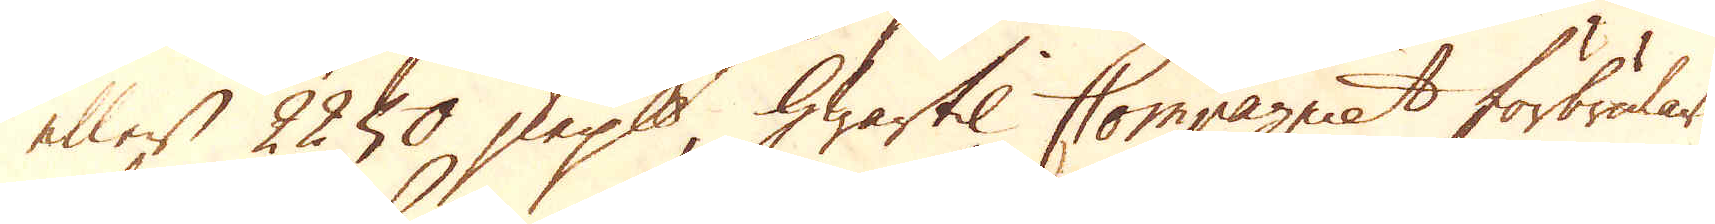eller 2250 skeppund, hwartil Compagniet förbrukar
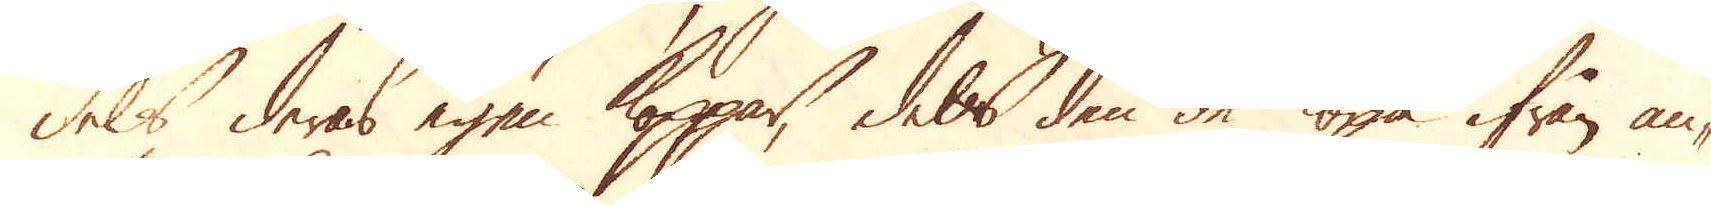dels deras egen Koppar, dels den de köpa ifrån an-
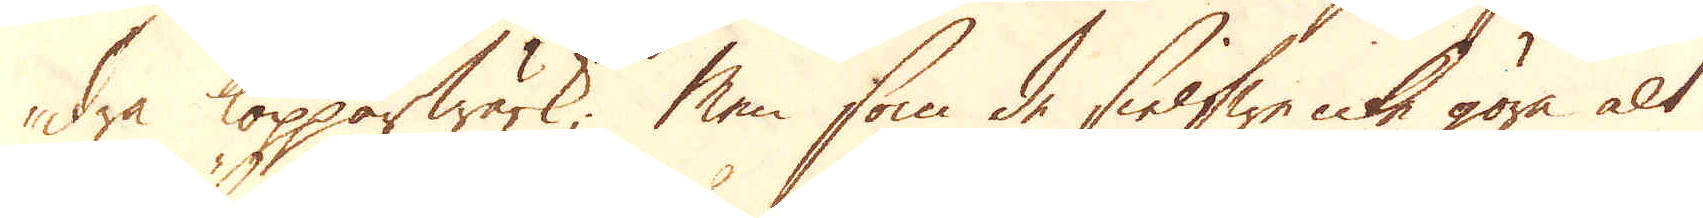dra Kopparwärk; Men som de sielfwe icke göra alt
